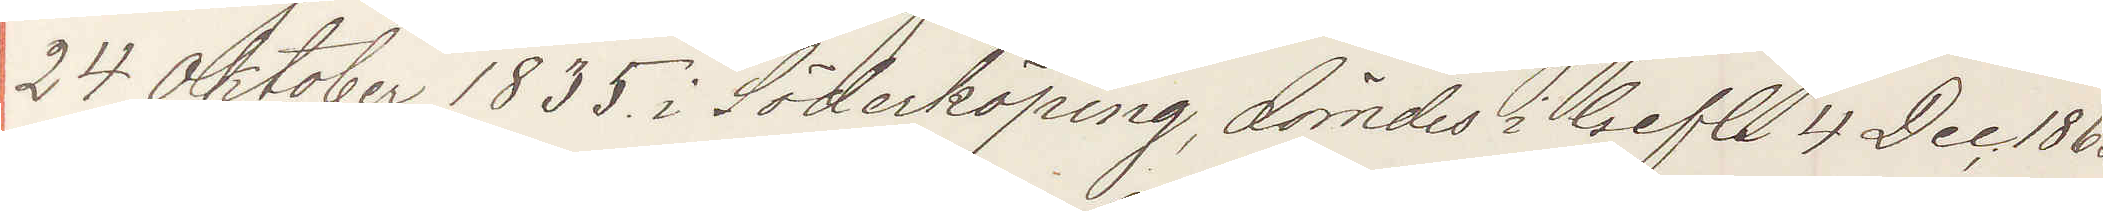24 oktober 1835 i Söderköping, dömdes i Gefle 4 Dec 1863
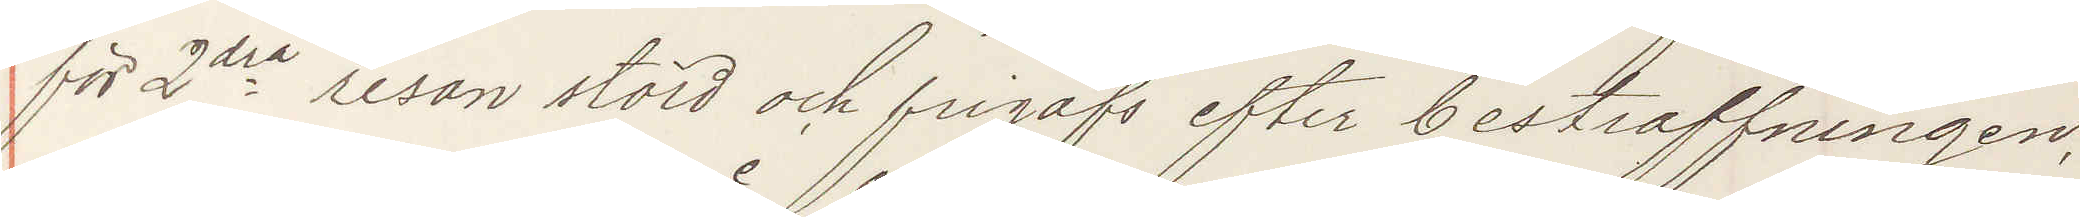för 2dra resan stöld och frigafs efter bestraffningen,
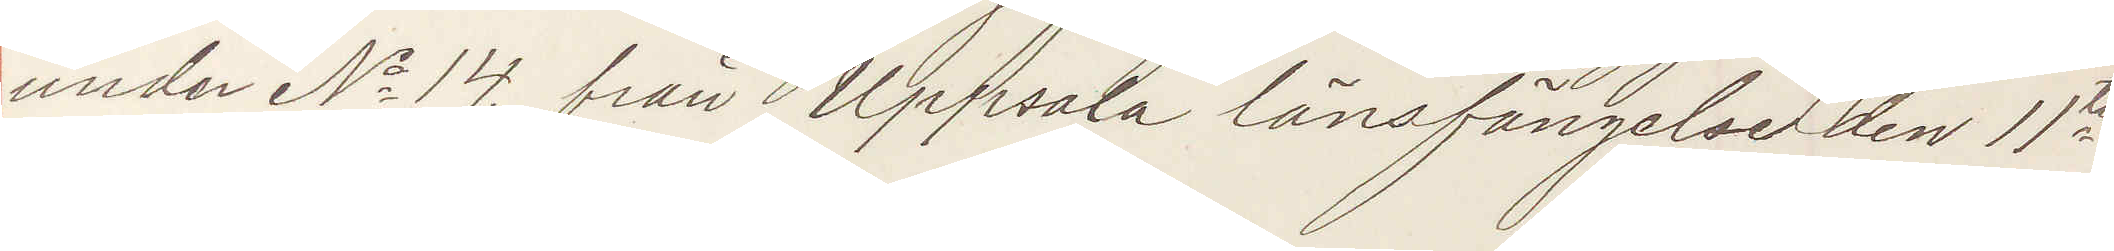under No 14 från Uppsala länsfängelse den 11te
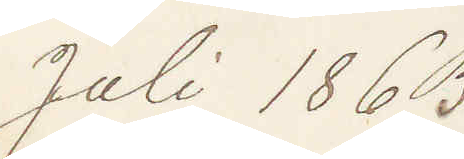Juli 1865.
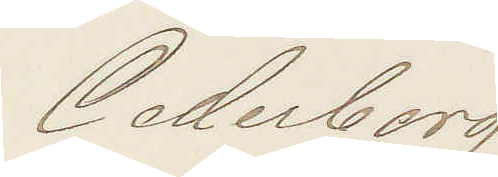Cederborg
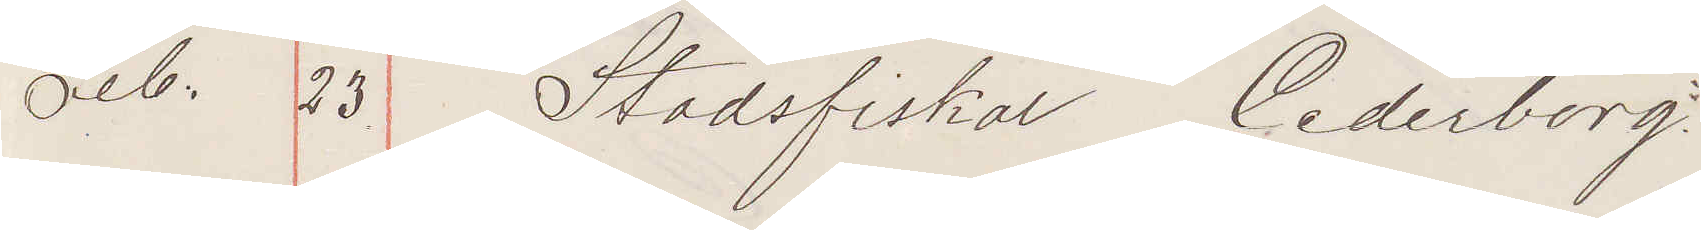Feb. 23 Stadsfiskal Cederborg:
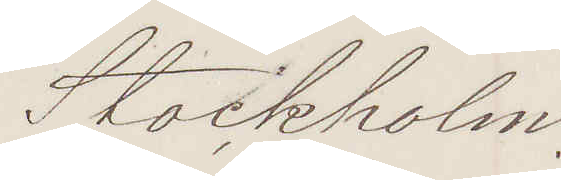Stockholm:
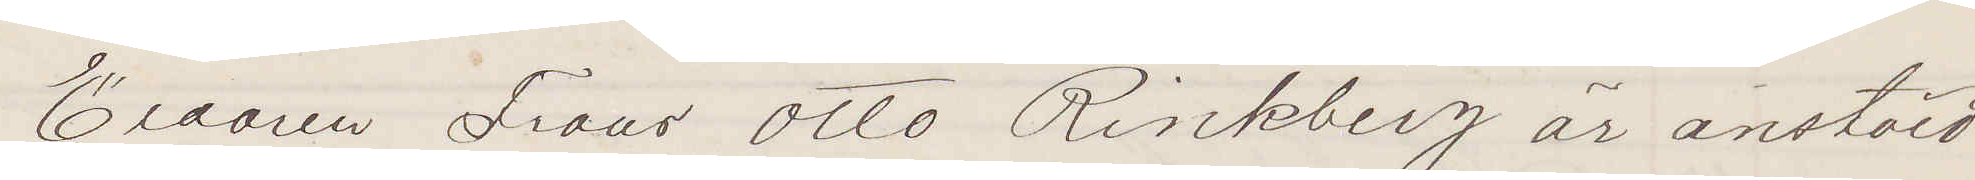Eldaren Frans Otto Rinkberg är anstäld
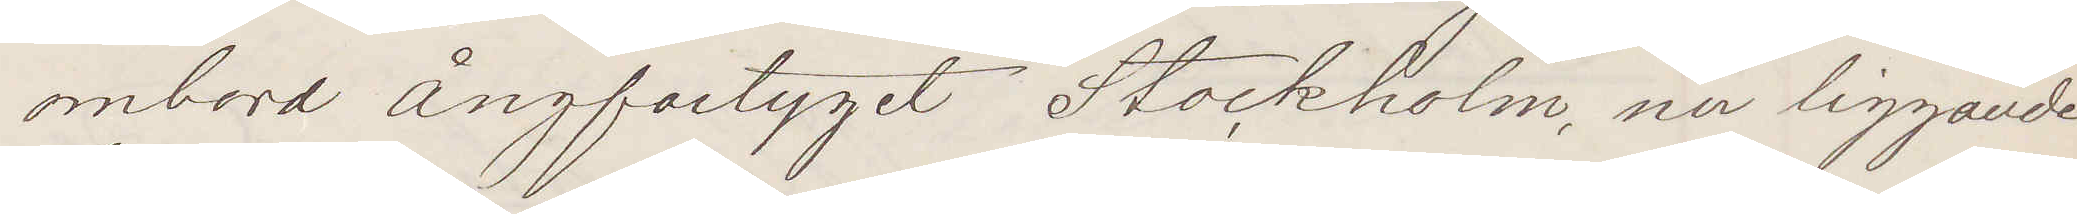ombord ångfartyget Stockholm, nu liggande
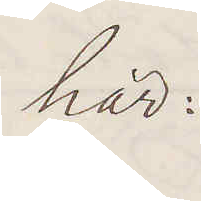här:
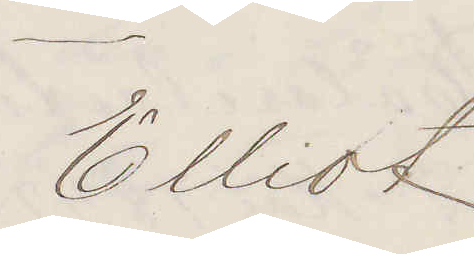Elliot
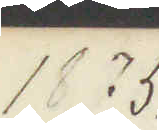1875.
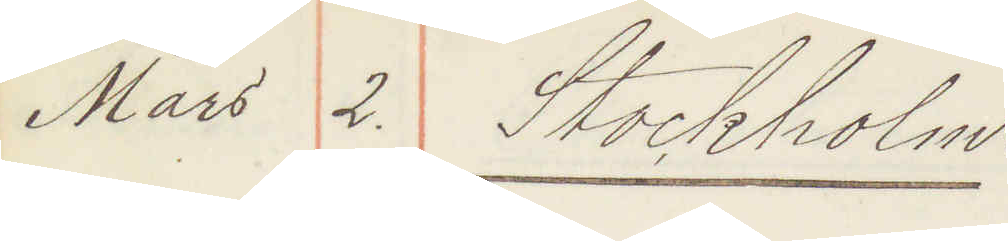Mars 2. Stockholm:
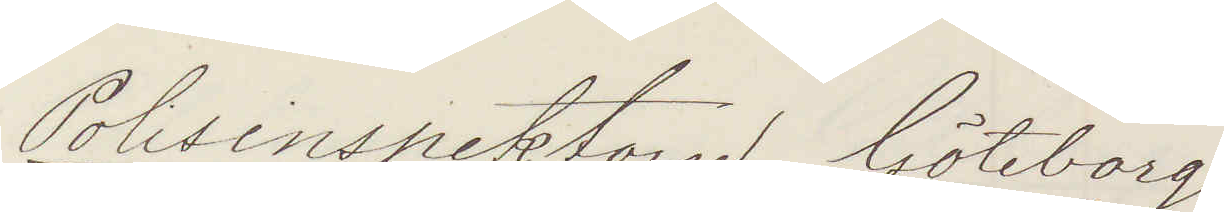Polisinspektorn Göteborg
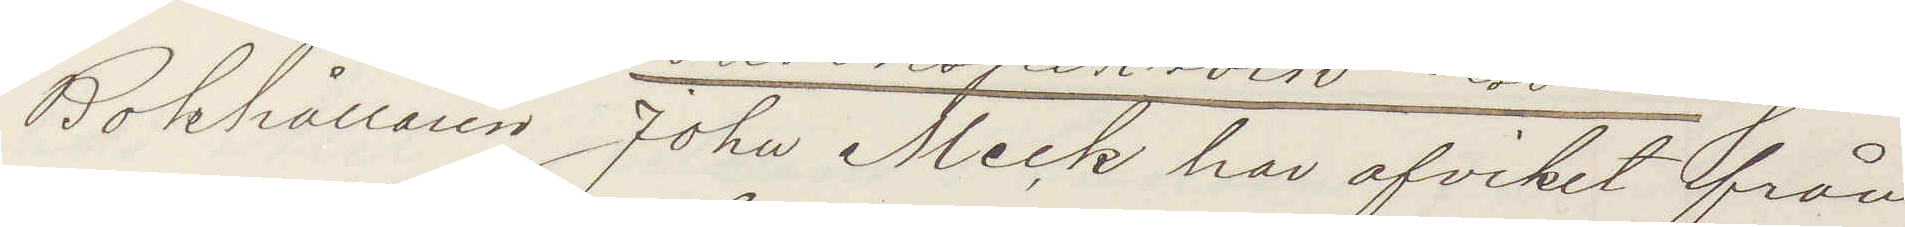Bokhållaren John Meck har afvikit från
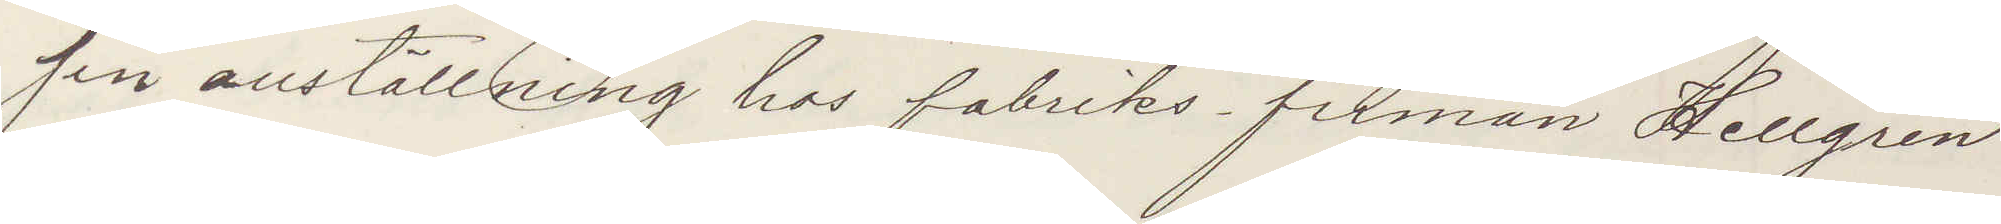sin anställning hos fabriks-firman Hellgren
